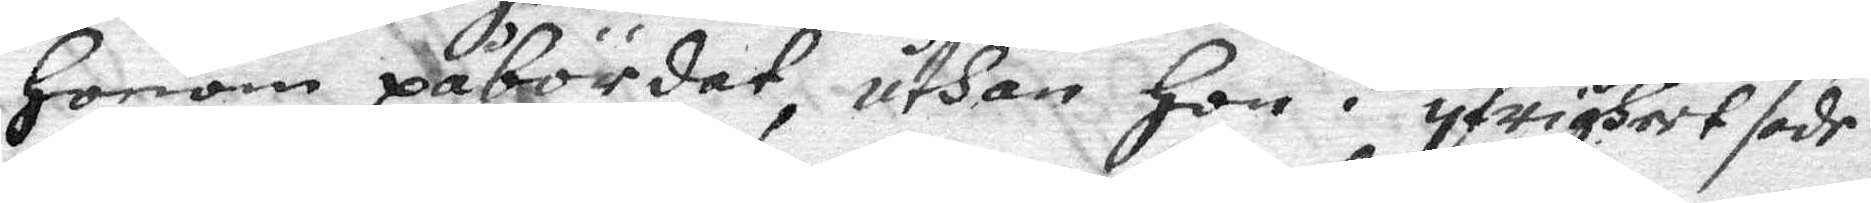honom påbördat, uthan hon i yfrigheet sade
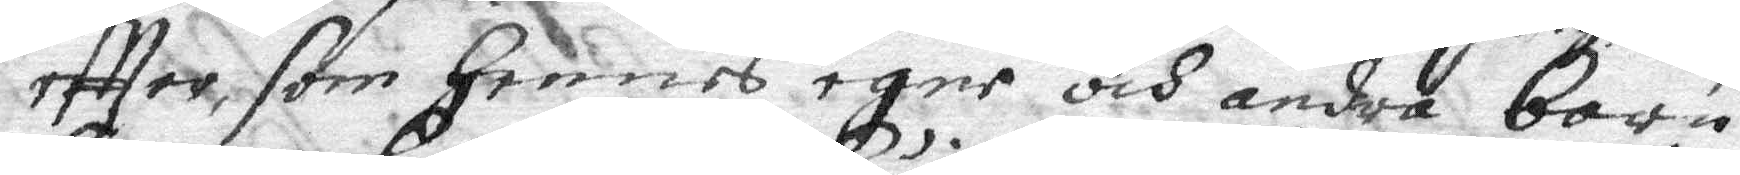eftter som hennes egne och andra barn
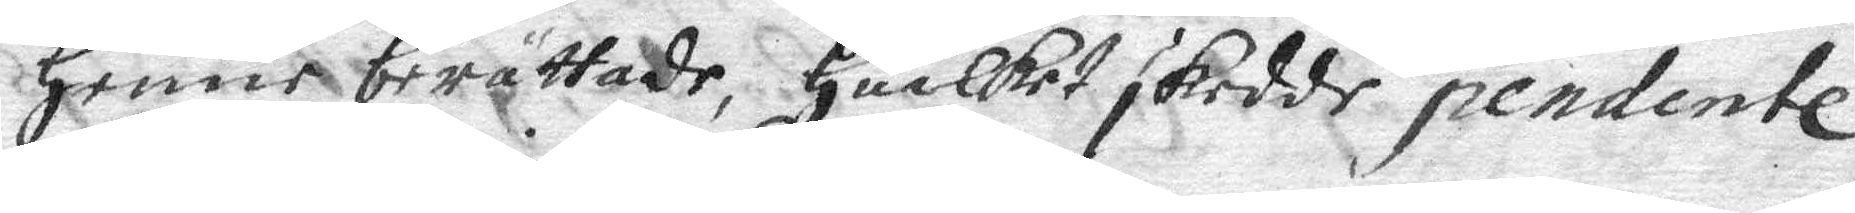henne berättade, huilket skedde pendentl
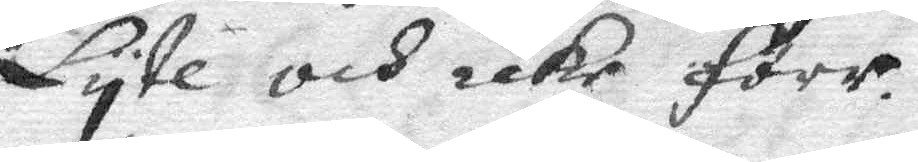Lyte och icke förr.
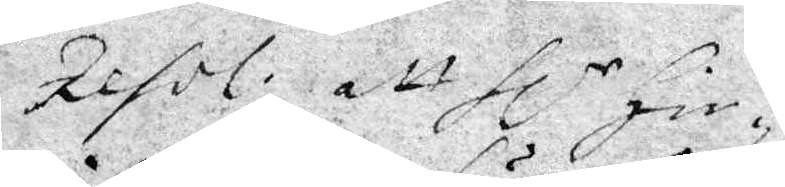Resol. att Hlr Hin¬
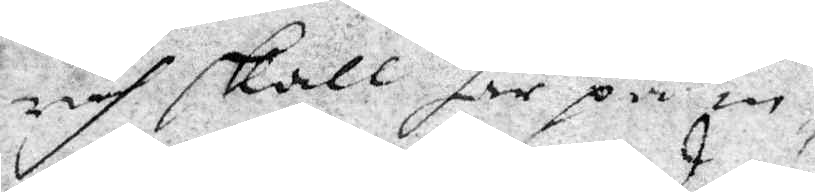rich skall här på in¬
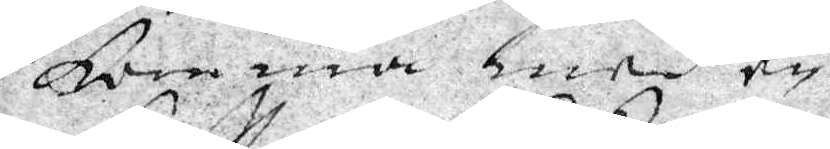komma med en
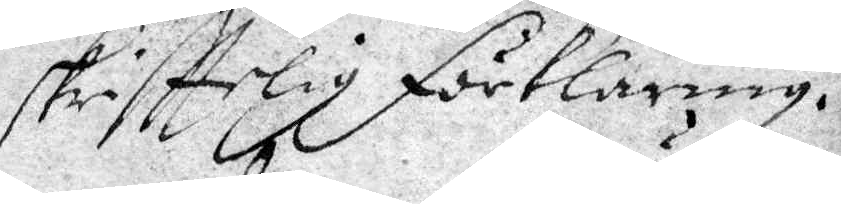skrifttelig förklaring.
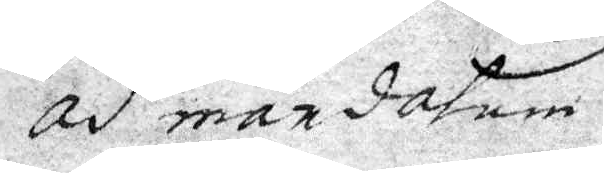ad mardatum
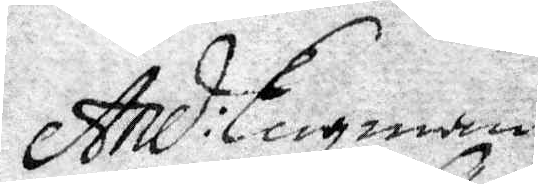And: Engman
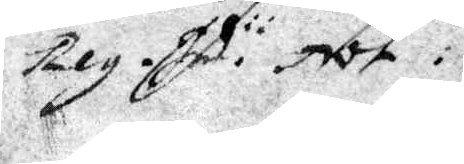Reg. Ind. Not:
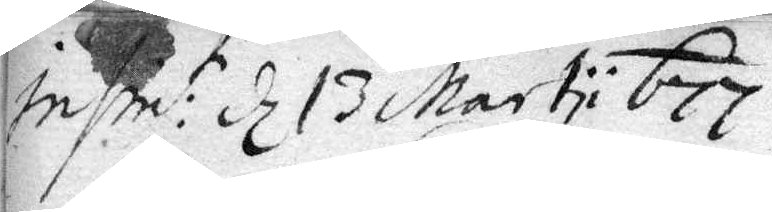Insint: d 13 Martii 677
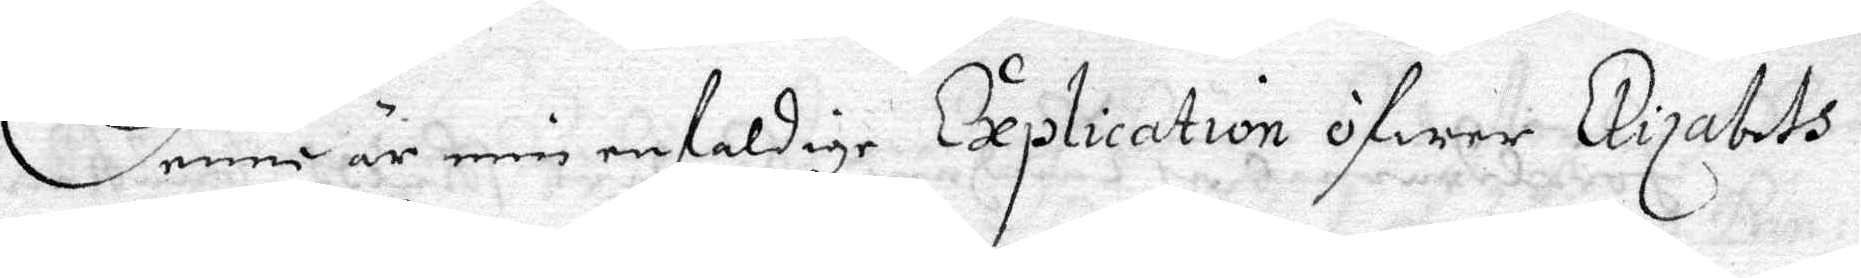Denne är min enfaldige Explication öfwer Elizabeth
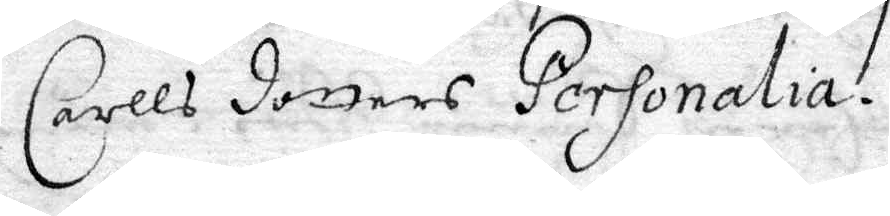Carlls dotters Personalia.
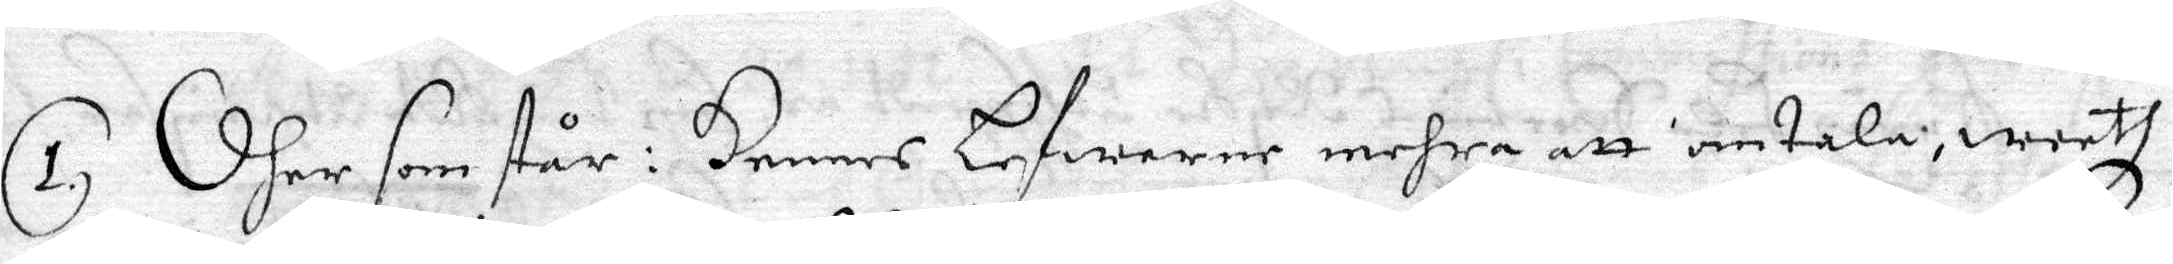1. Dher som står i Hennes Lefwerne mehra att intala, weeth
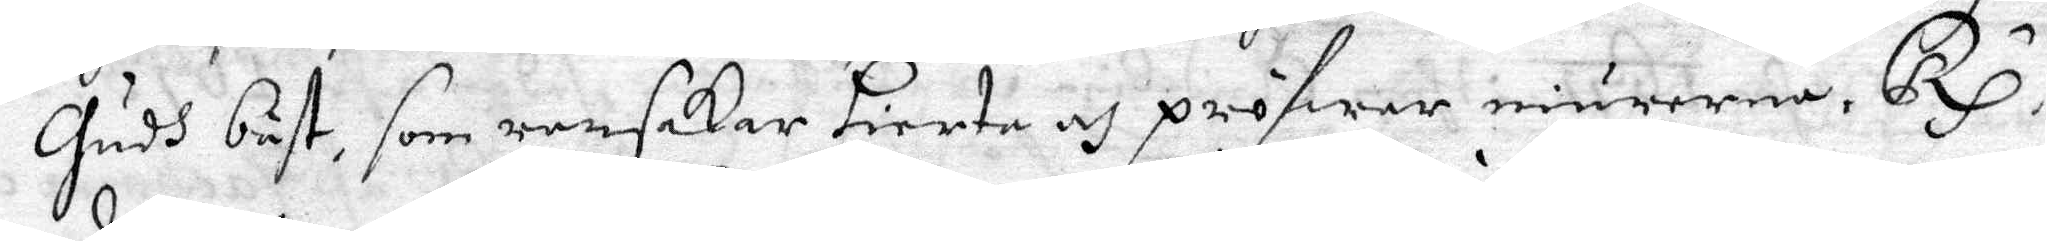Gudh bäst, som ransakar jierta och pröfwar niurerna. Rx
